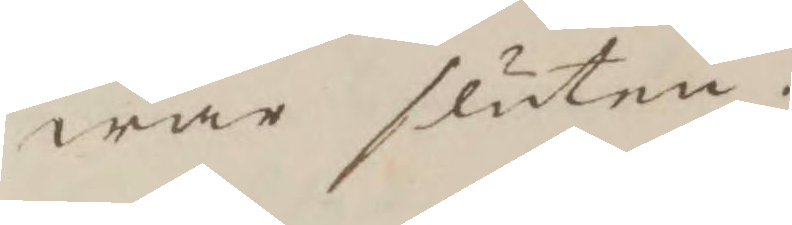wara sluten.
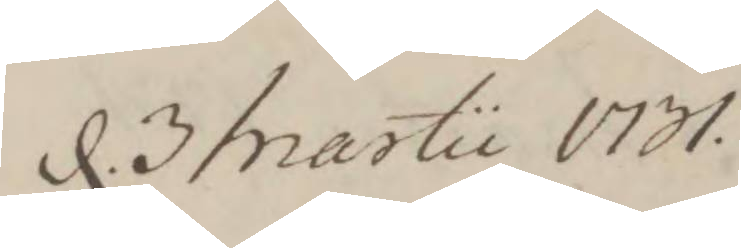d. 3 Martii 1731.
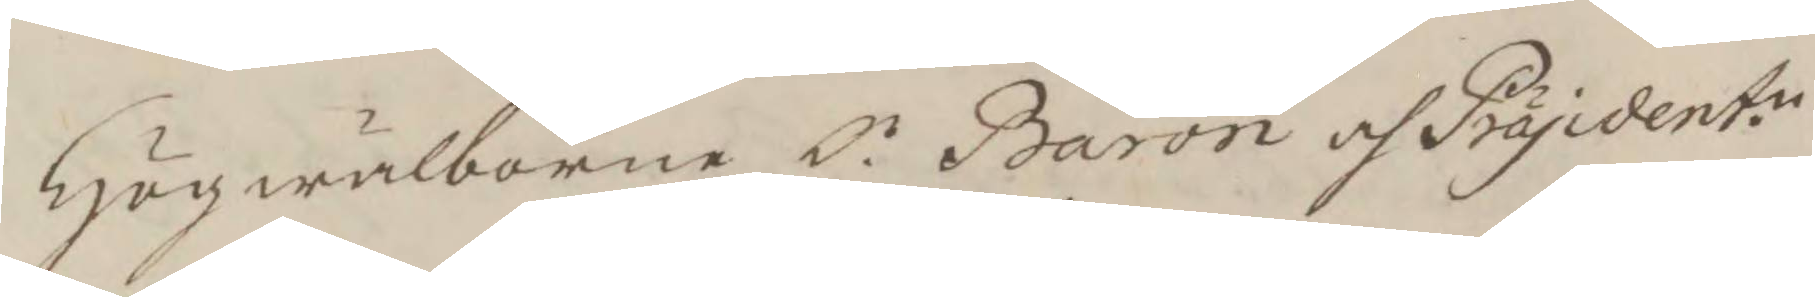Högwälborne Hr Baron och Präsident.n
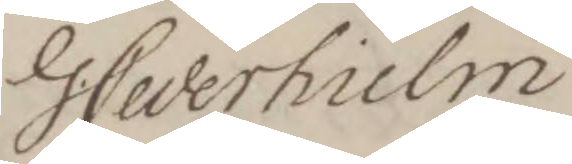G. Cederhielm
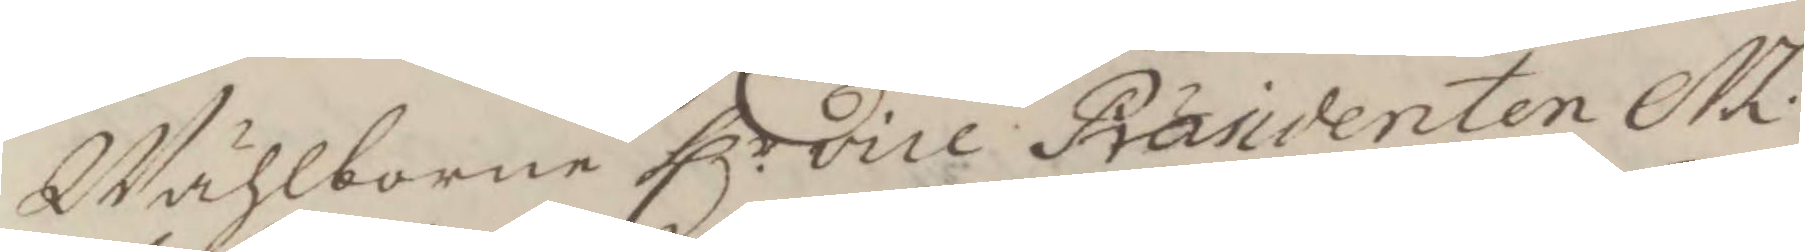Wählborne H.r vice Präsidenten M.
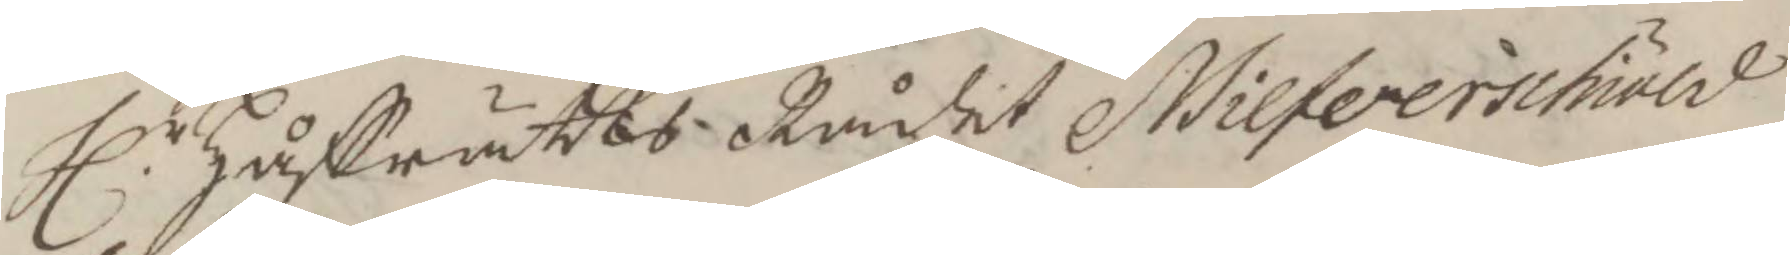hl.r Håffrätts Rådit N. Silferschiöld
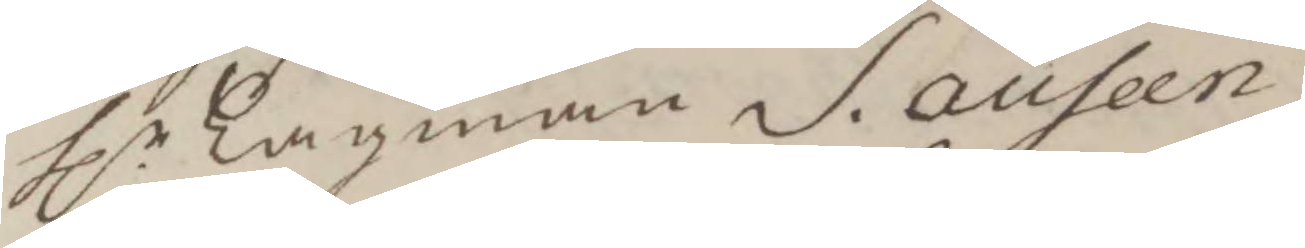hl.r Lagman S. auseen
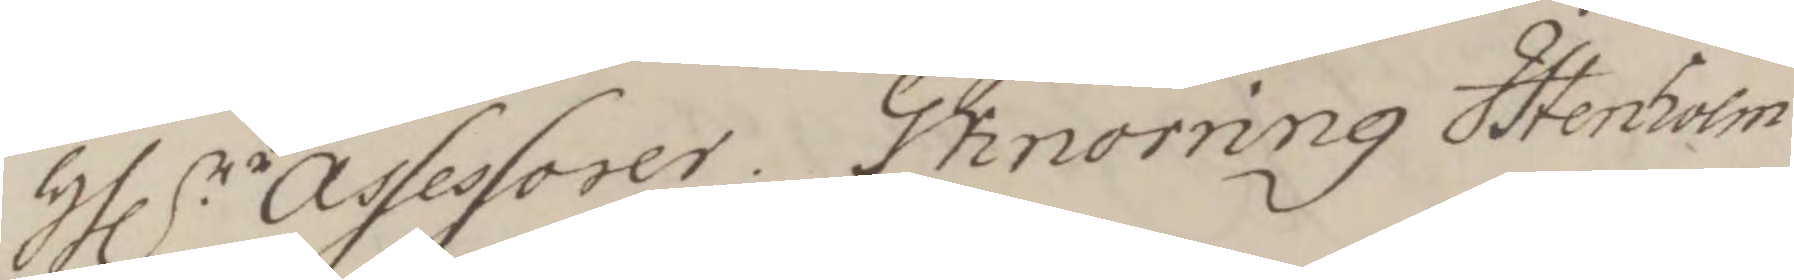hl.rr assessorer G Knorring I Stenholm
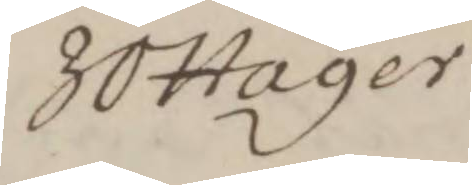J O hager
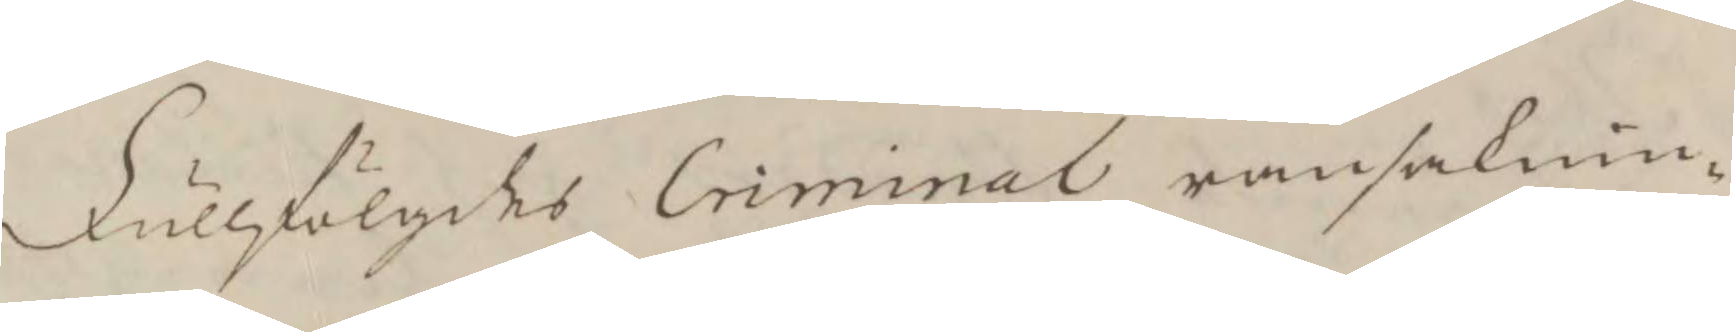Fullfölgdes Criminal ransaknin¬
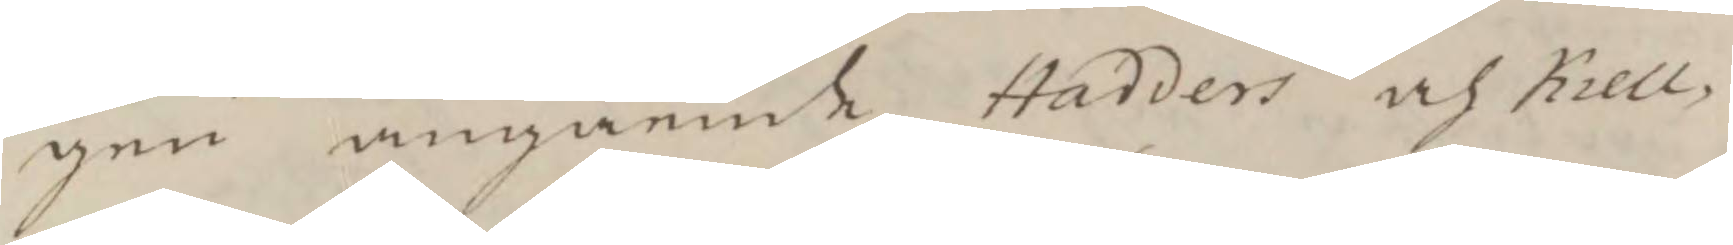gen angående Hadders och Kiell¬
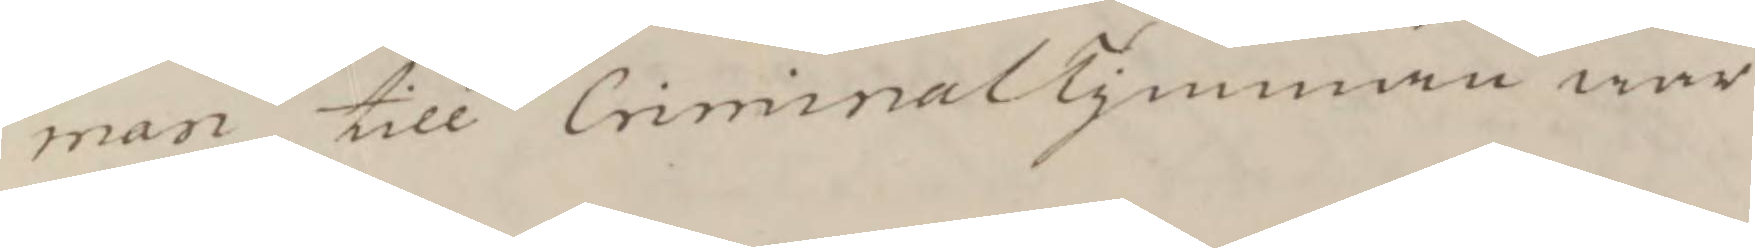man till Criminal Tymman war
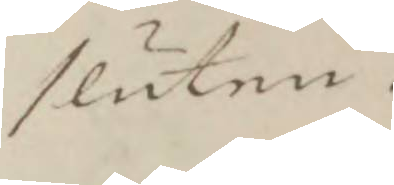sluten.
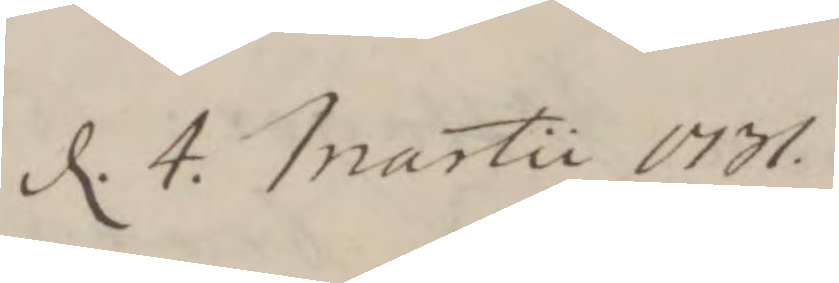d. 4. Martii 1731.
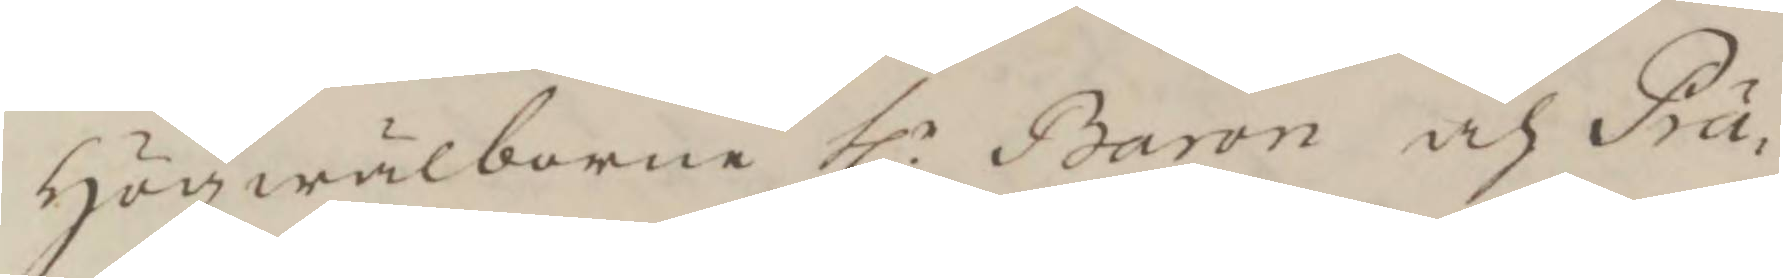Högwälborne hl.r Baron och Prä¬
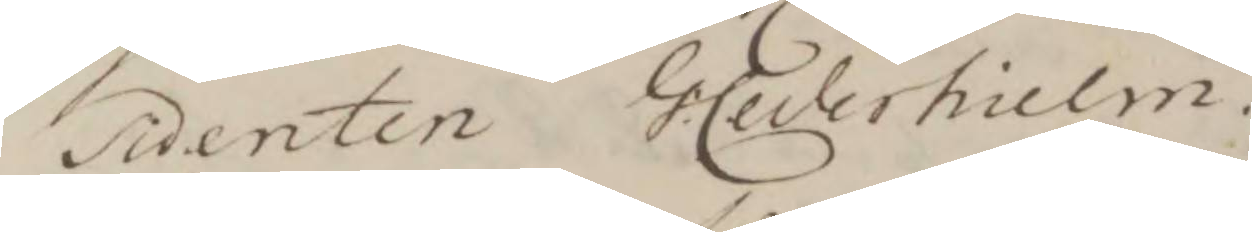sidenten G: Cederhielm.
